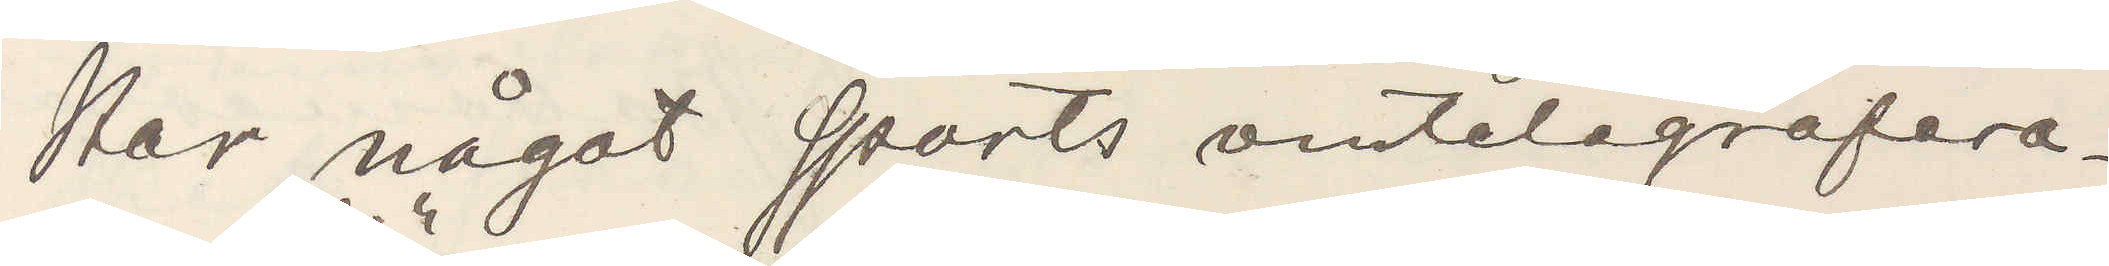Har något sports omtelegrafera¬
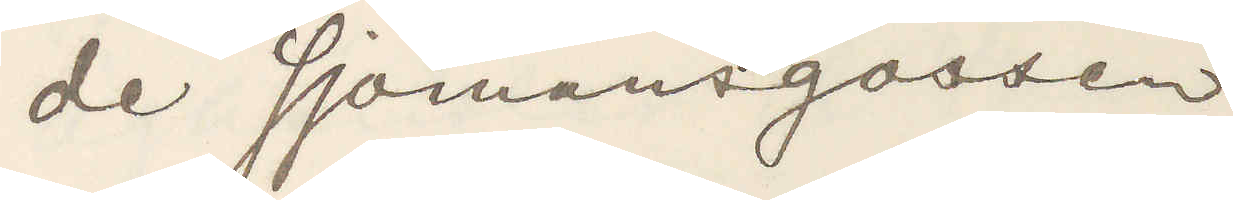de Sjömansgossen.
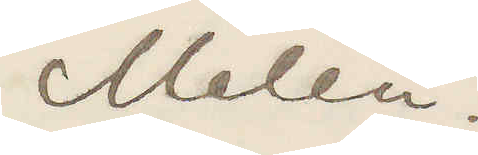Melén.
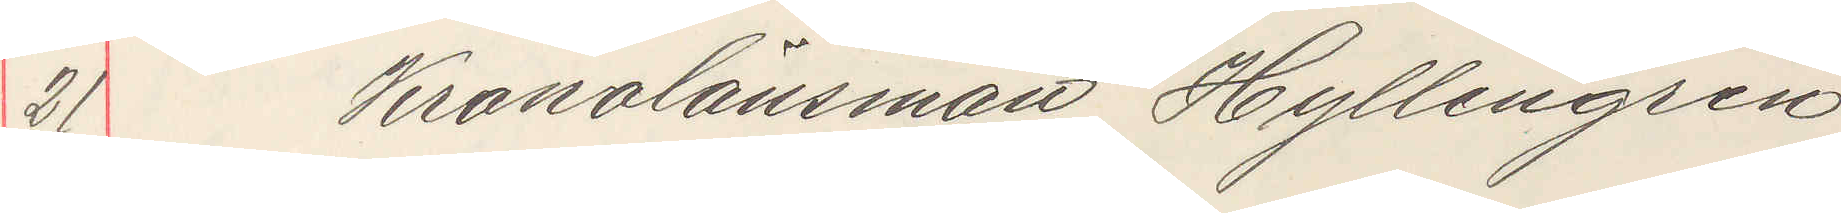21 Kronolänsman Jyllengren
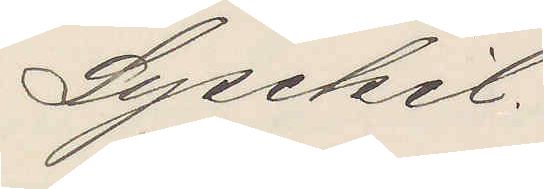Lysekil.
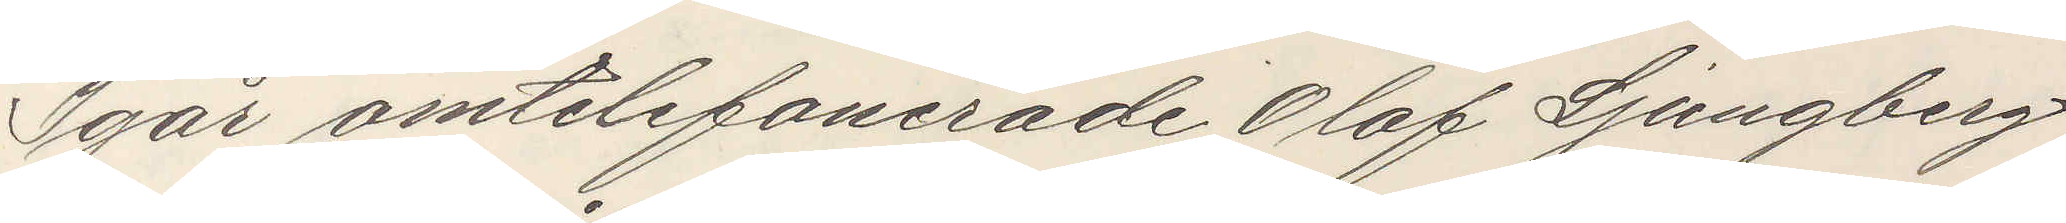Igår omtelegraferade Olof Ljungberg
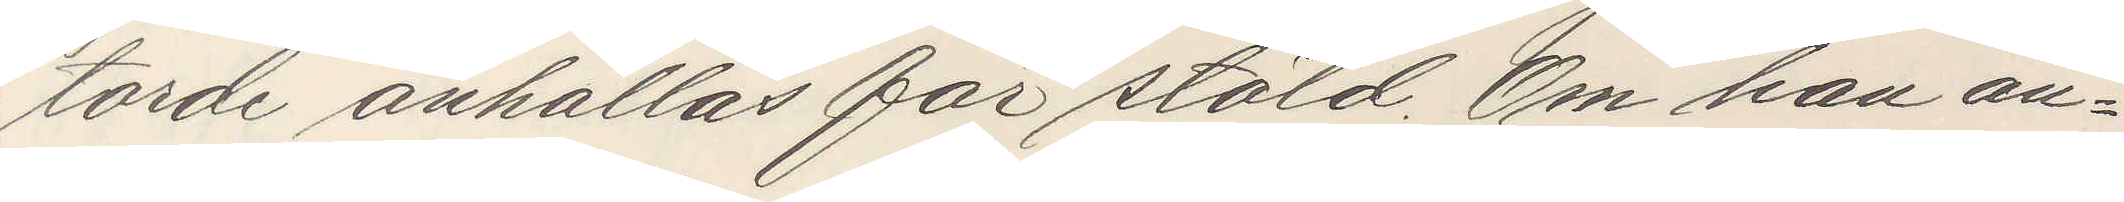torde anhållas för stöld. Om han an¬
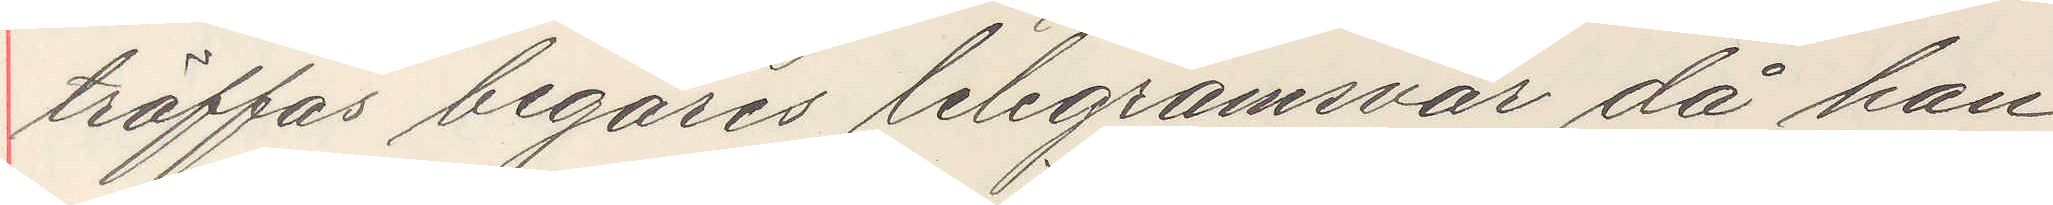träffas begäres telegramsvar då han
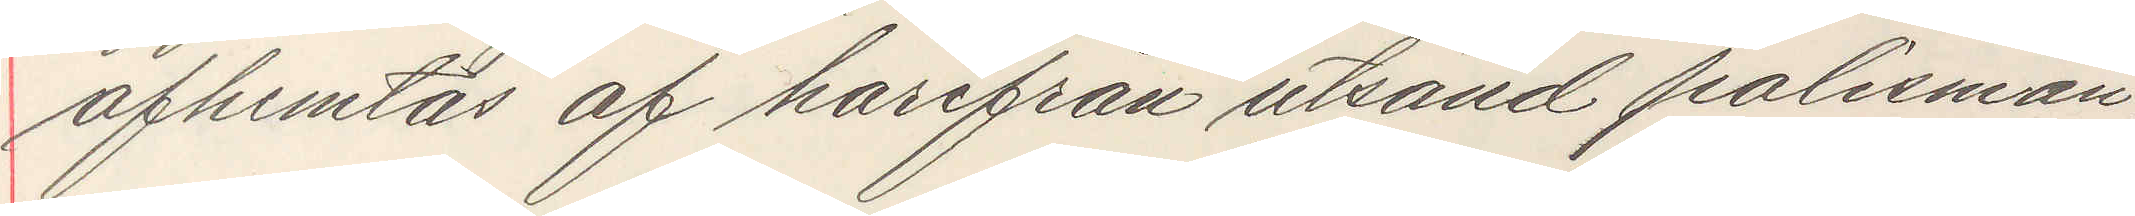afhemtas af harfrån utsand polisman,
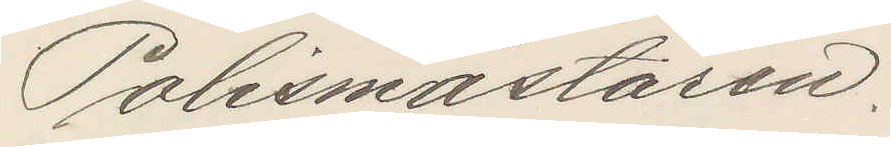Polismästaren.
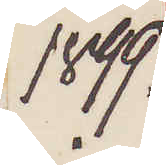1899.
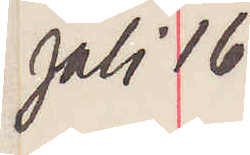Juli 16.
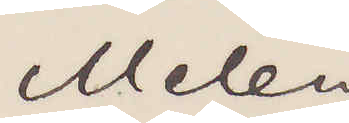Melén
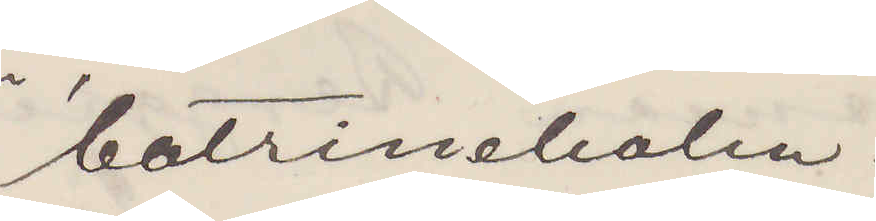Catrineholm.
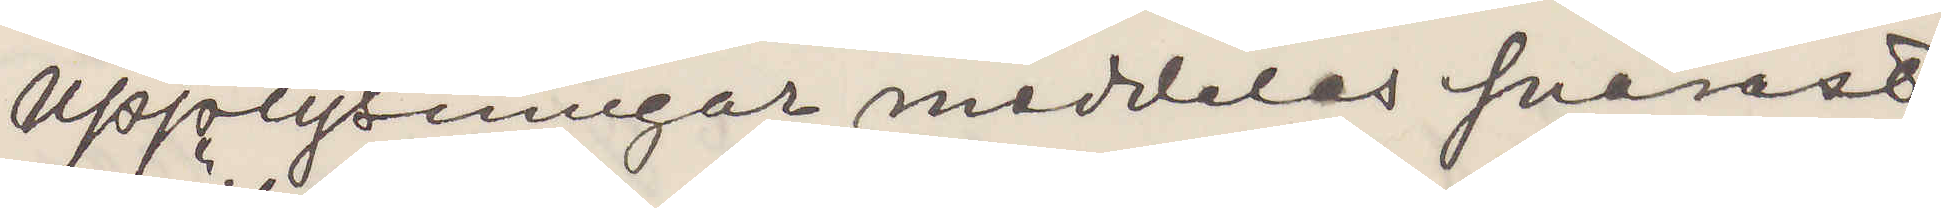Upplysningar meddelas snarats
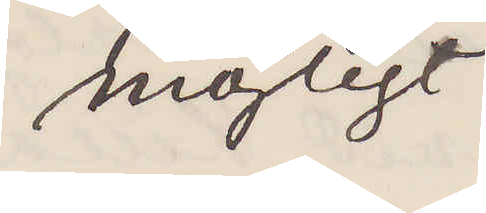möjligt.
